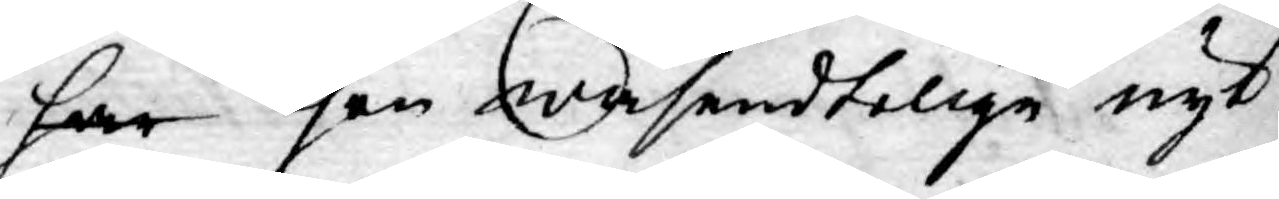har Then wäsendtelige nyt¬
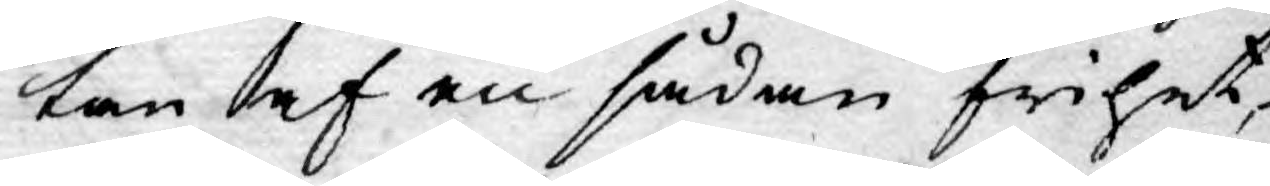tan af en sådan frihet,
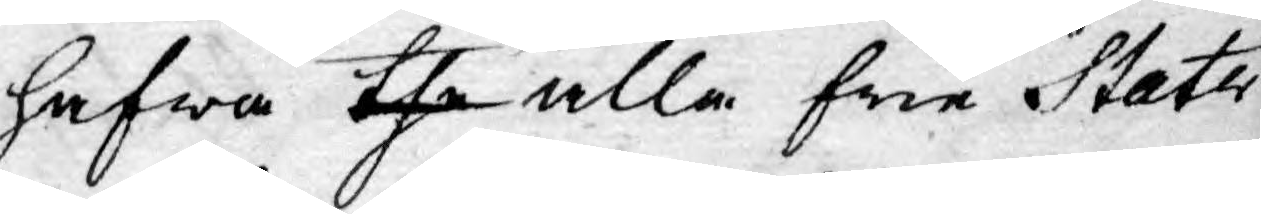hafwa the alla frie Stater
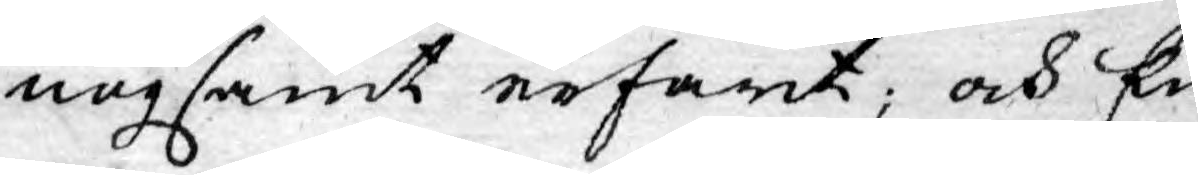nogsamt erfarit; och En¬
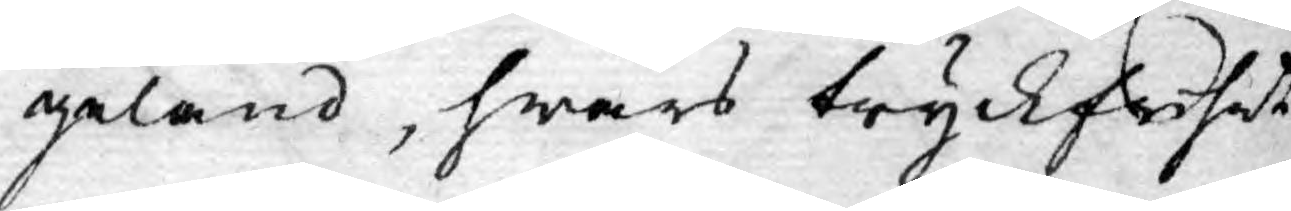geland, hwars tryckfrihet
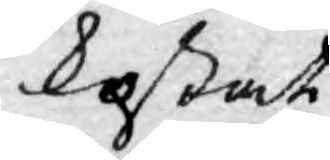kostat
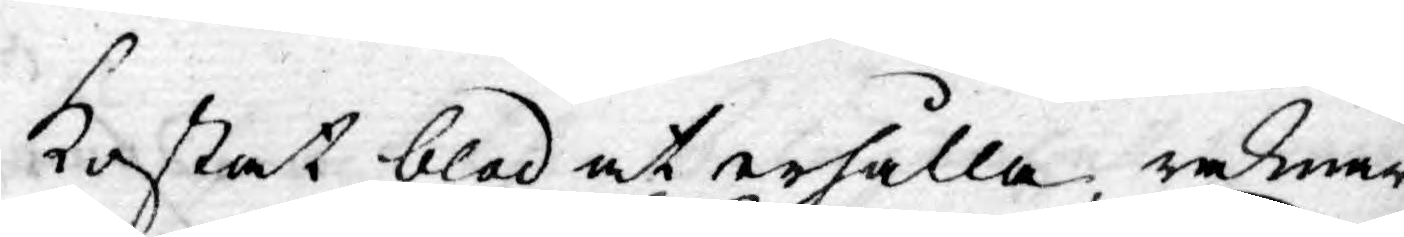kostat blod at erhålla, räknar
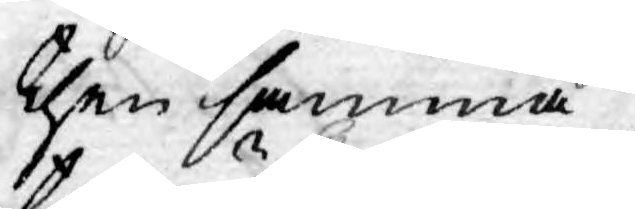then samma
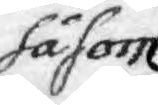såsom
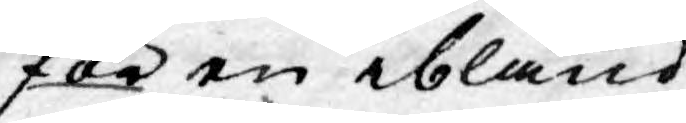för en ibland
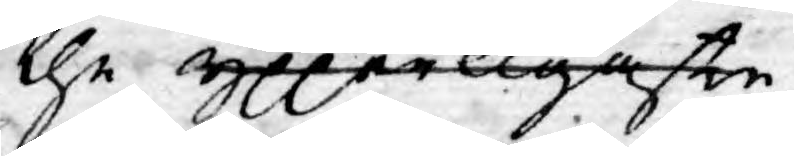the ypperligaste
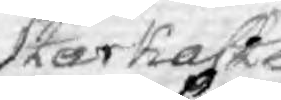Starkaste
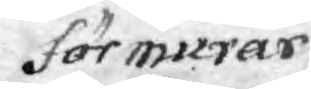förmurar
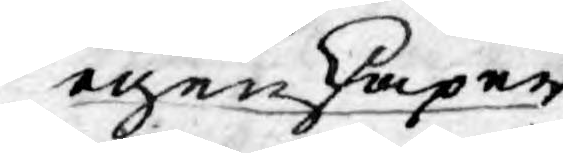egenskaper
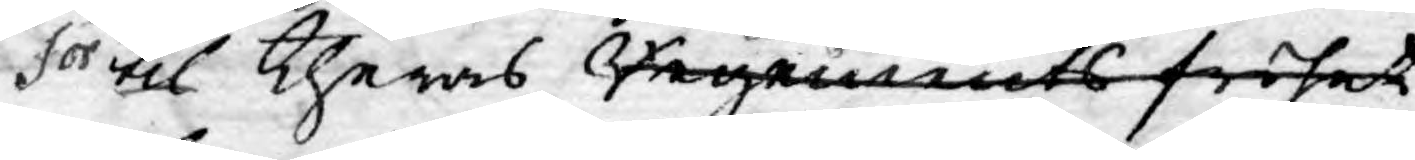för til Theras Regements frihet
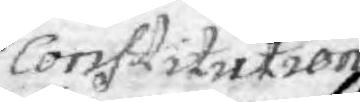Constitution.
